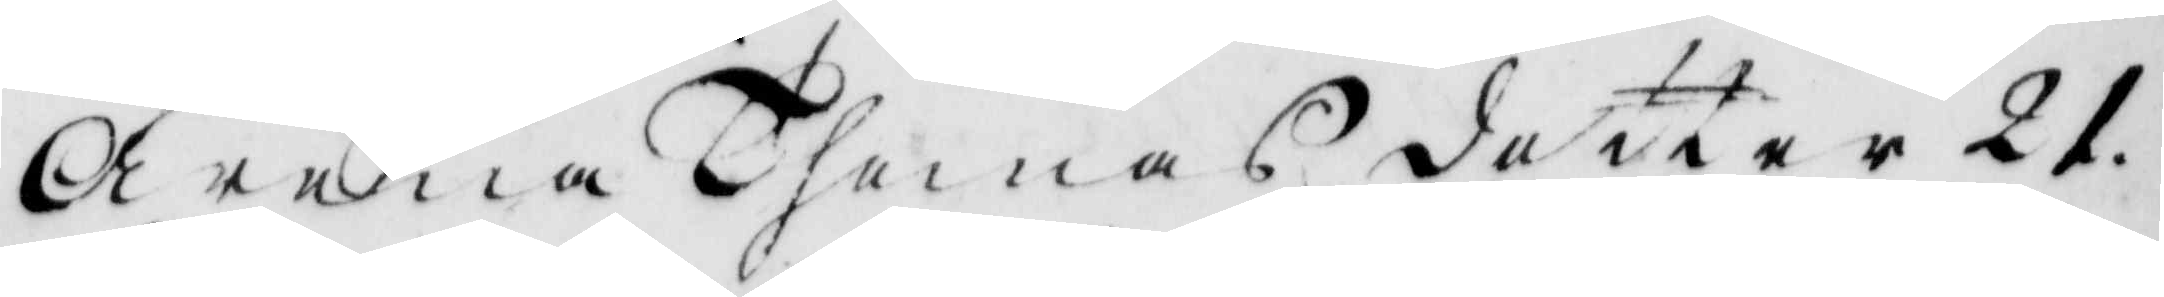Arena Thomas dotter 21.
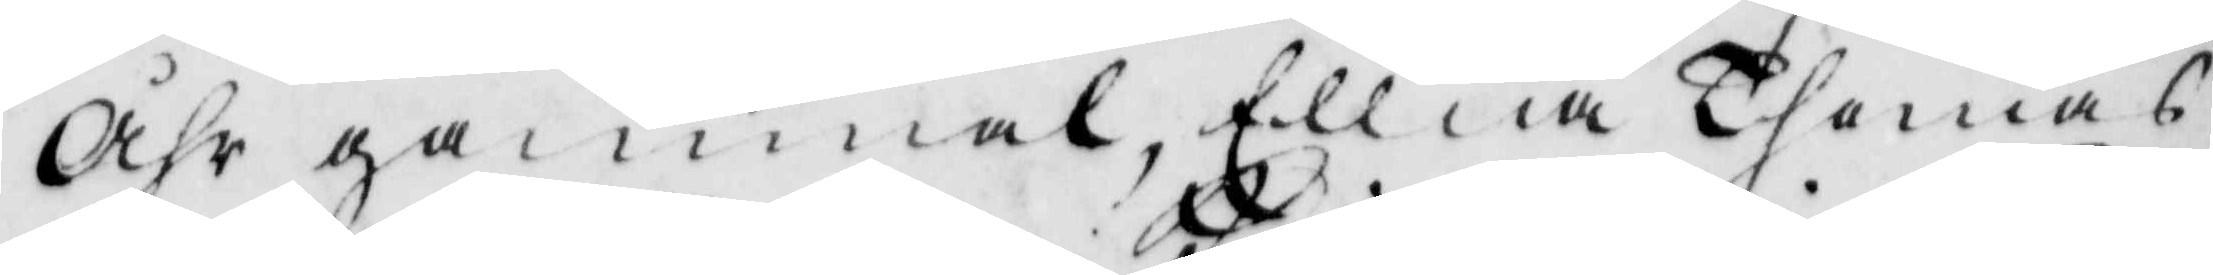åhr gammal, Ellna Thomas
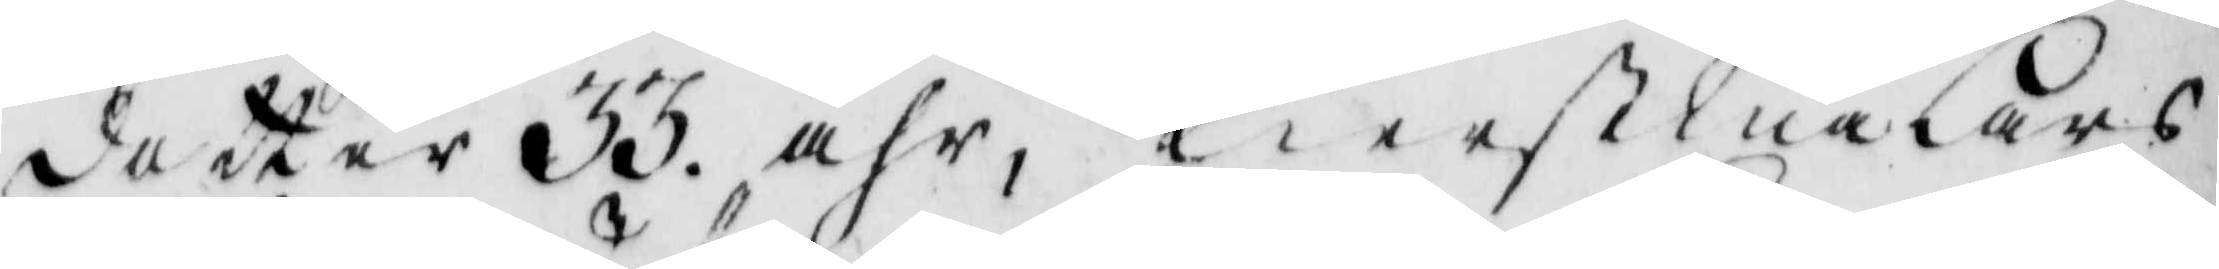dotter 33 åhr, Kierstina Lars
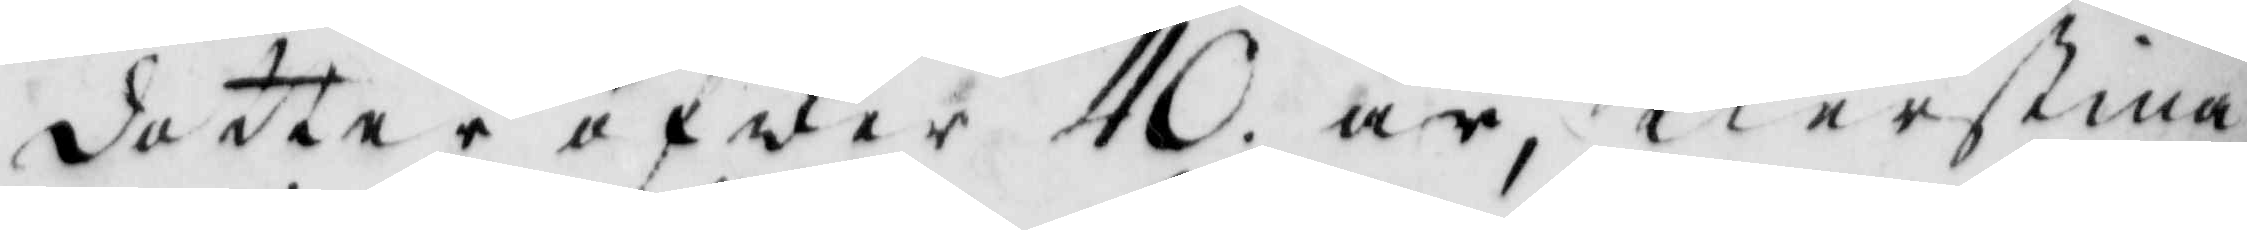dotter öfwer 40 år, Kierstina
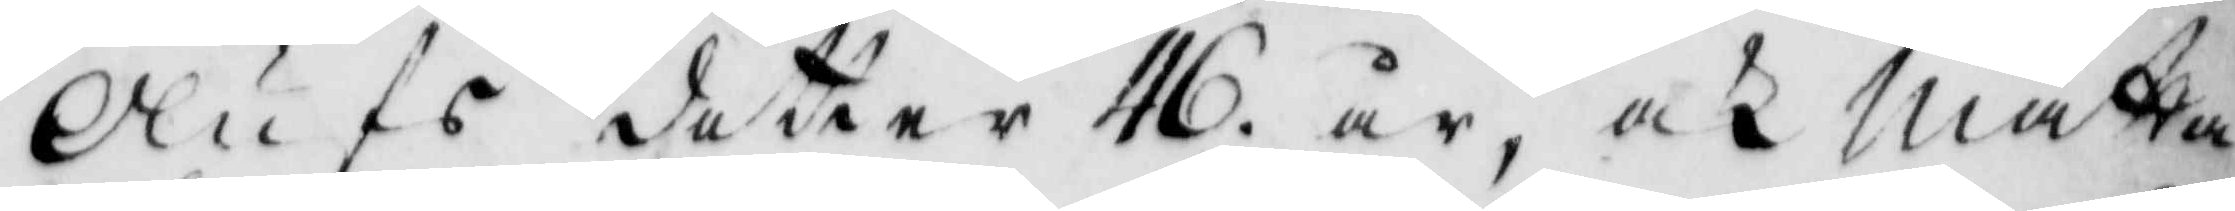Olufs dotter 46 år, och Mätta
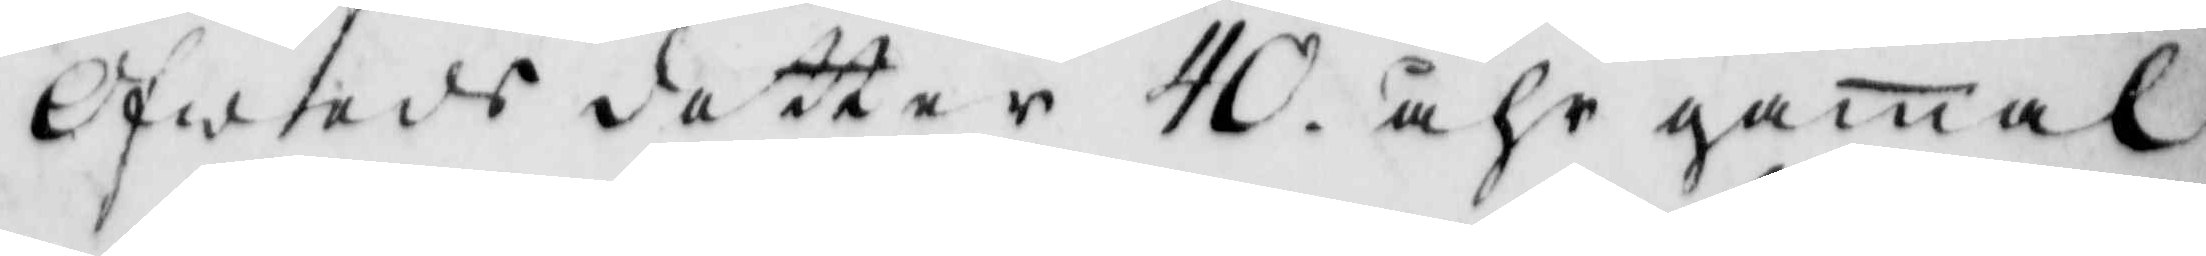Ofweds dotter 40 åhr gamal
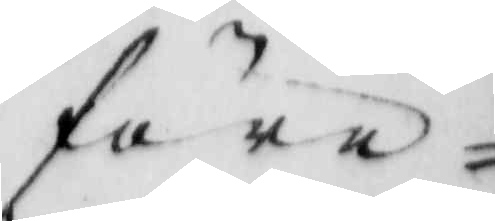före¬
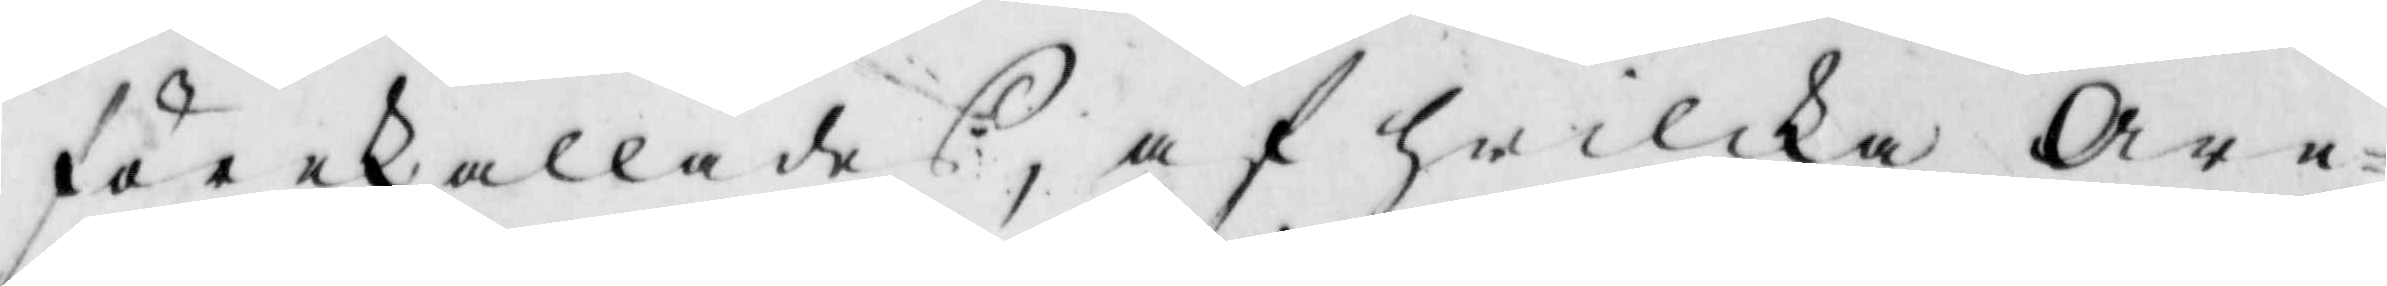förekallades, af hwilka Are¬
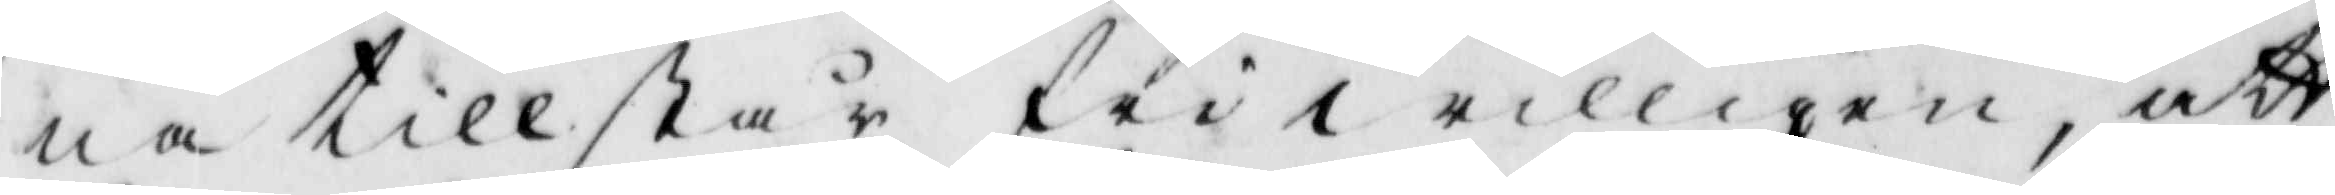na tillstår friwilligen, att
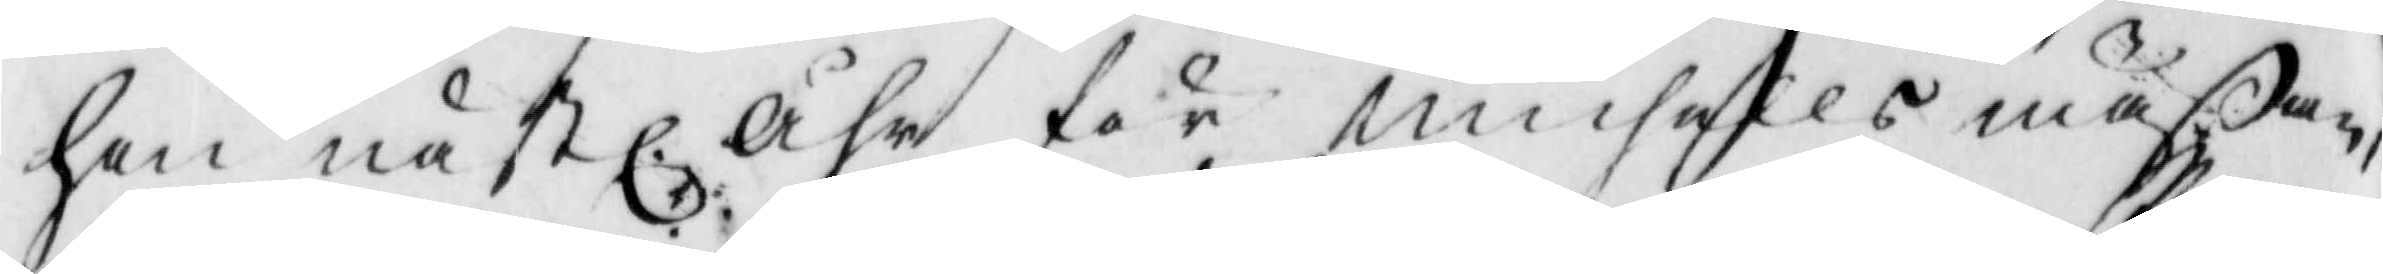hon nästl. åhr för michells mäßan,
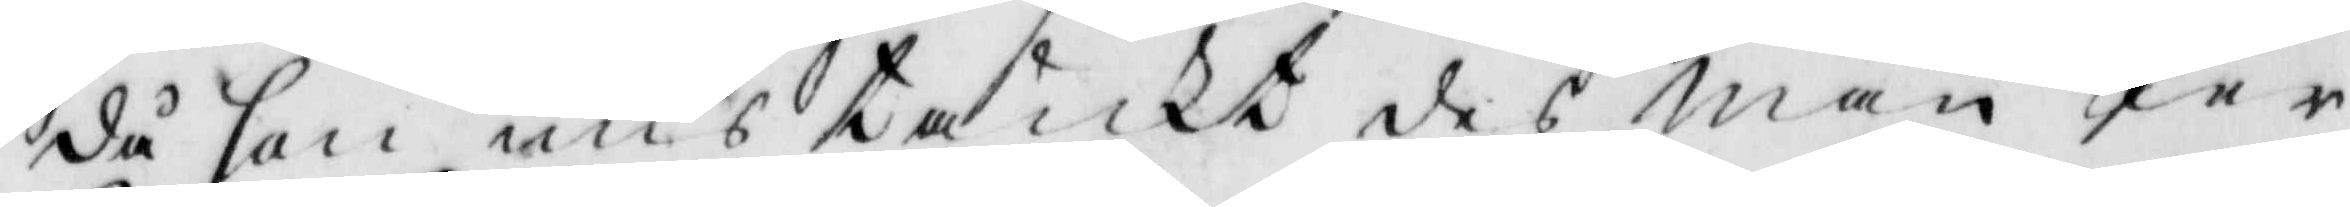då hon mistänkt des man Per
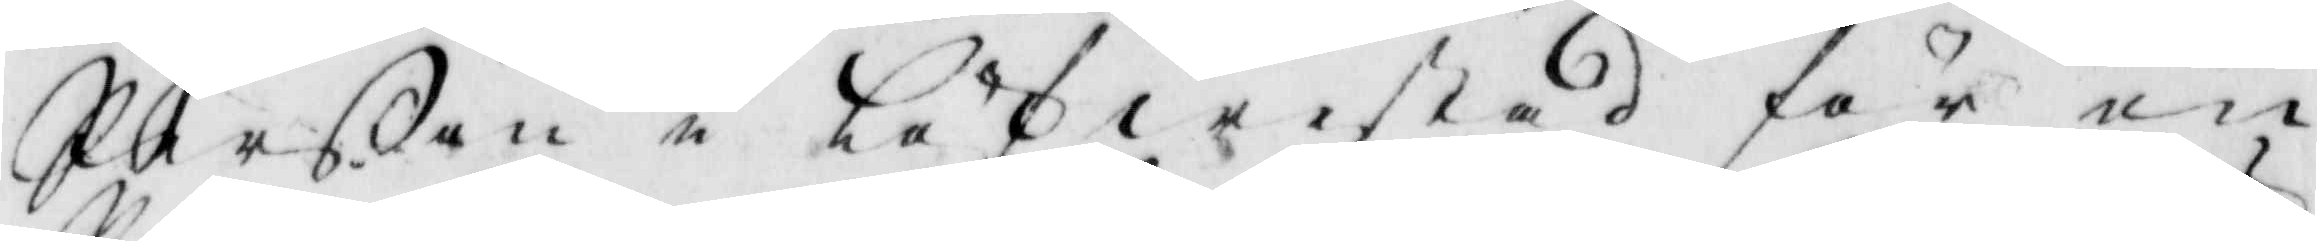Perßon i Löfwestad för en
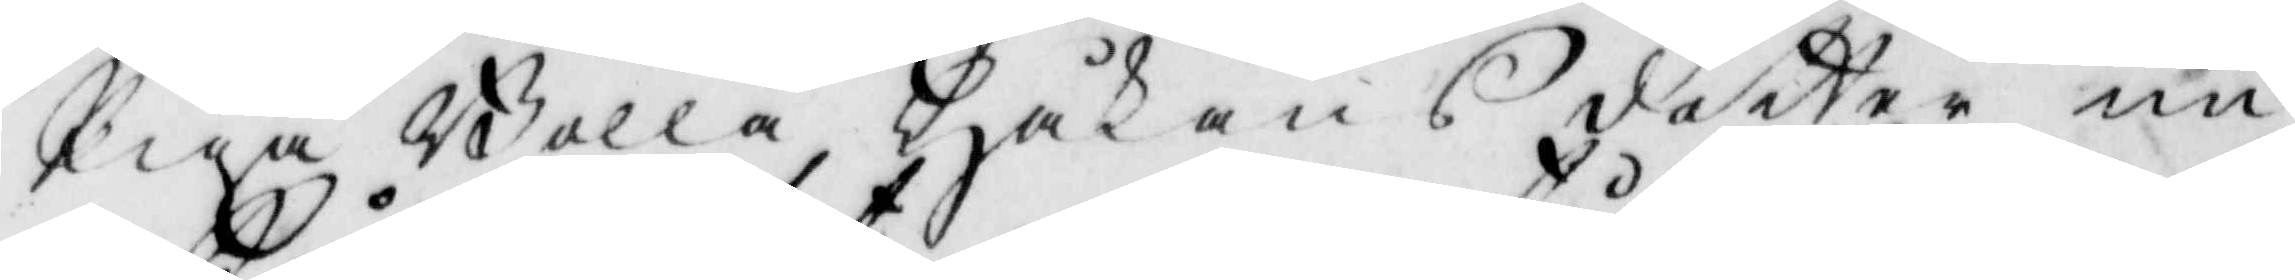Piga Bolla Håkans dotter nu
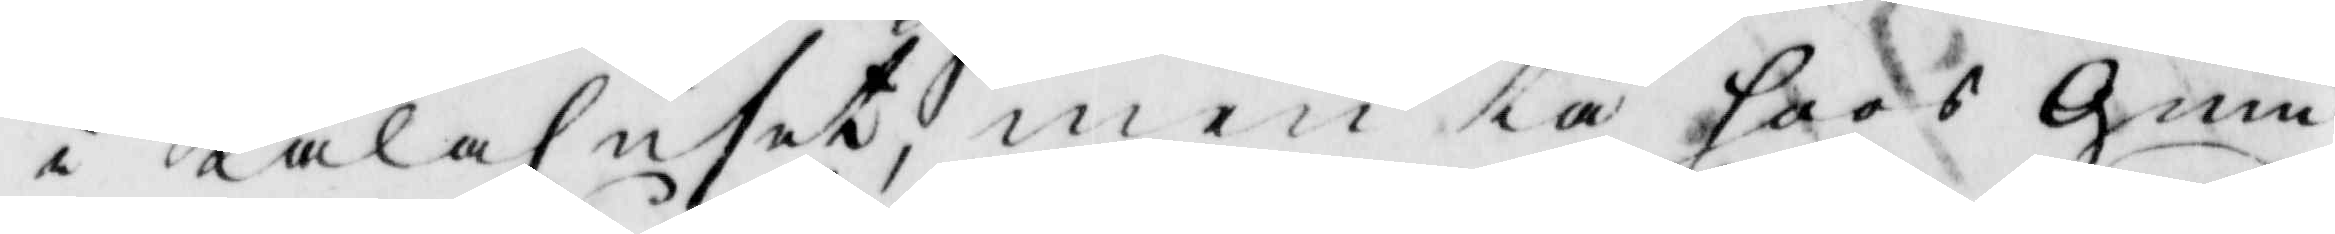i Kålahuset, men tå hoos gum¬
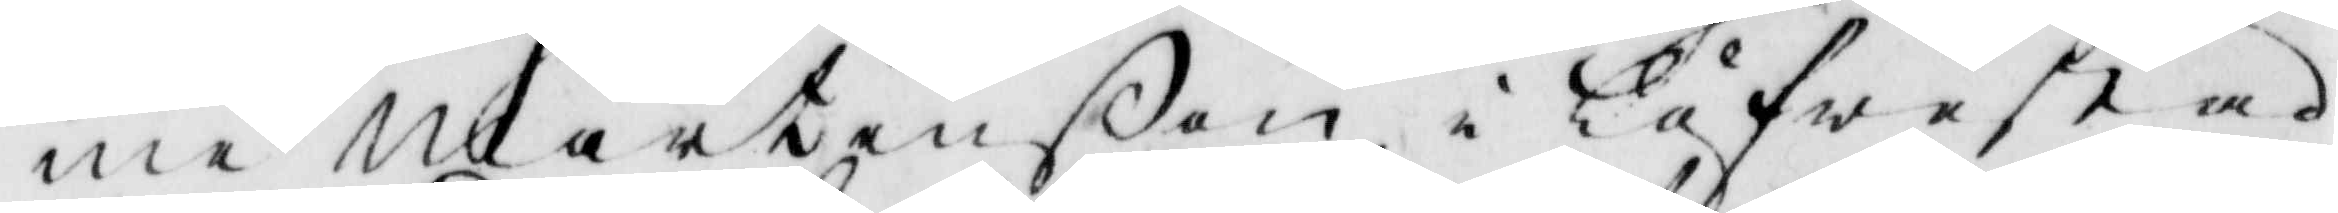me Mårtenßon i Låfwestad
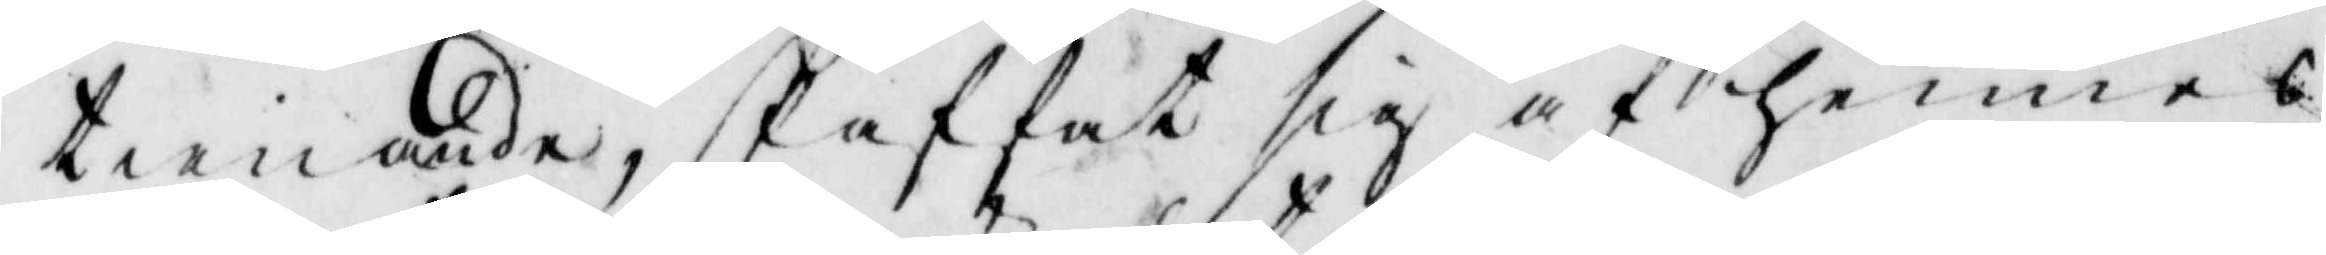tienande, skaffat sig af hennes
